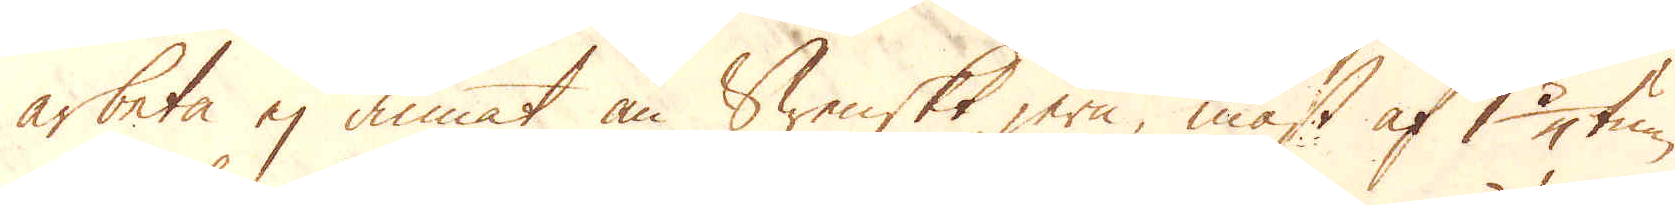arbeta ej annat än Swenskt jern, mäst af 1 3/4 tum
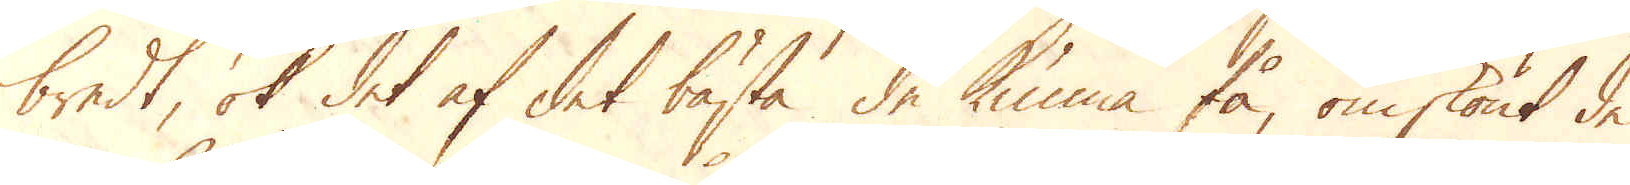bredt, ok det af det bästa de kunna få, omskönt de
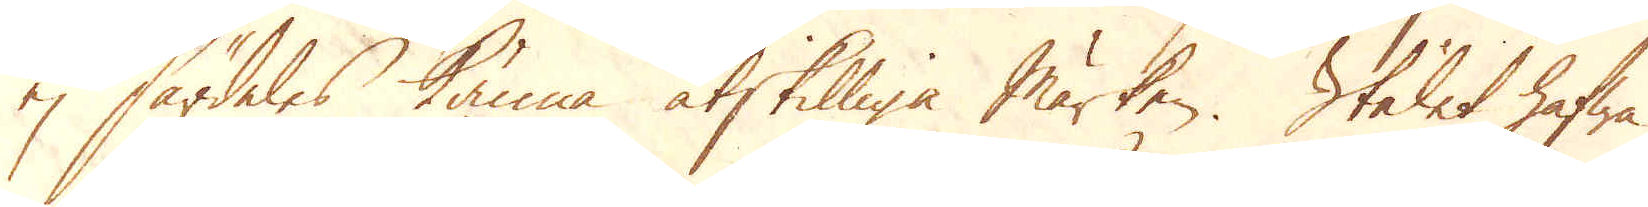ej särdeles känna åtskilliga märken. Stålet hafwa
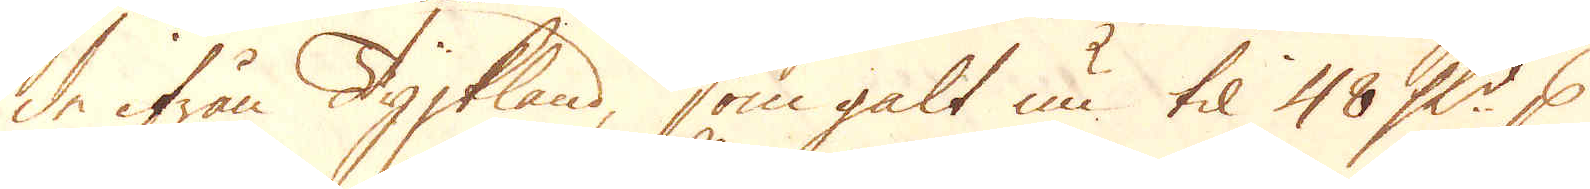de ifrån Tyskland, som galt nu til 48 Sk:r p
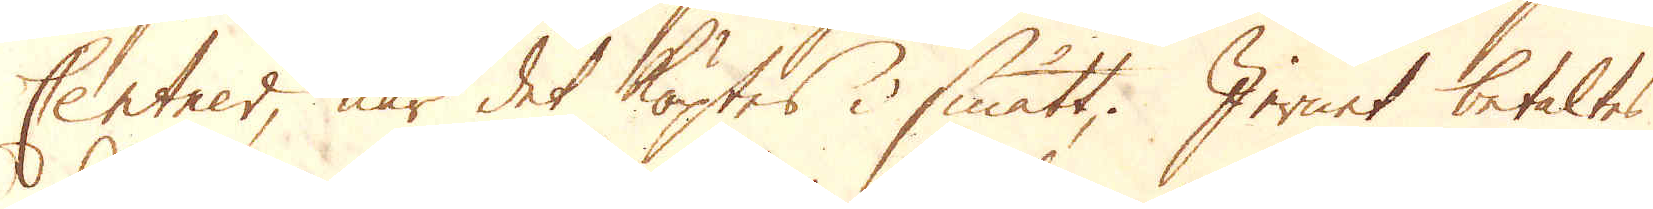Centner, när det köptes i smått; Jernet betaltes
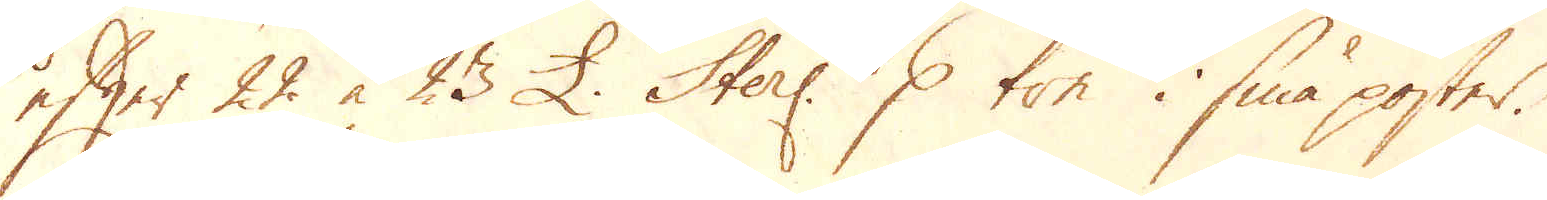efter 22 à 23 £. Sterl: p ton i små poster.
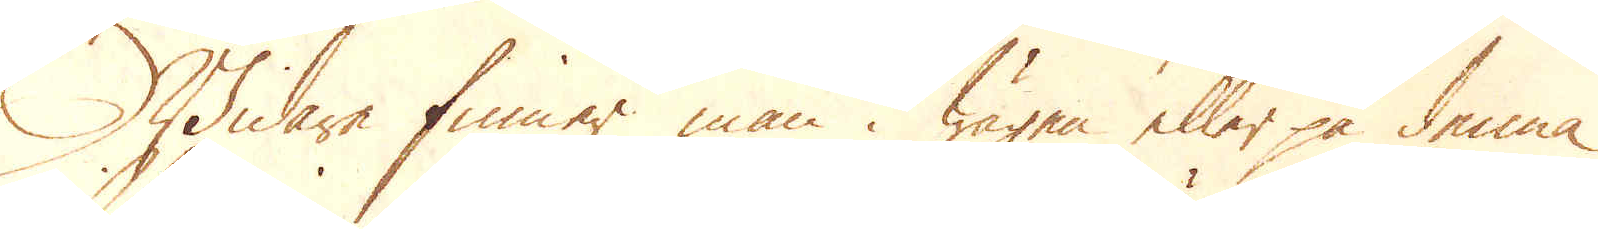Widare finner man i wägen eller på denna
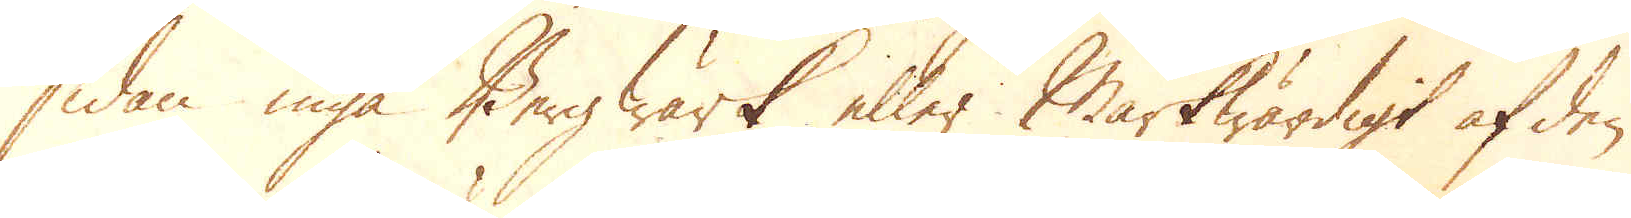sidan inga Bergwärk eller Märkwärdigt af den
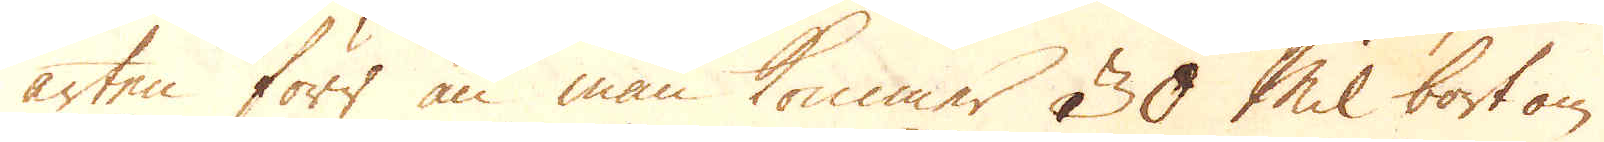arten förr än man kommer 30 Mil bort om
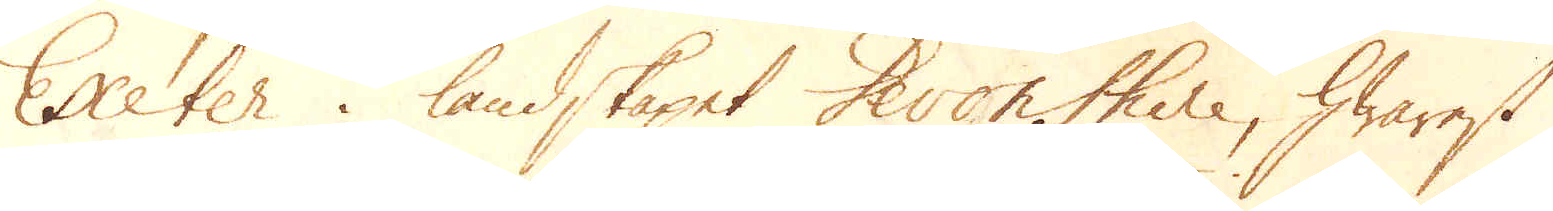Exeter i landskapet Devonshire, hwarest
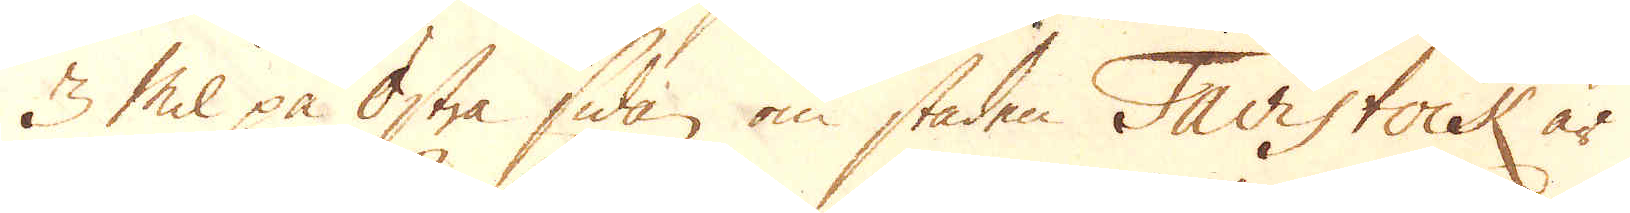3 Mil på Östra sidan om staden Tavistock är
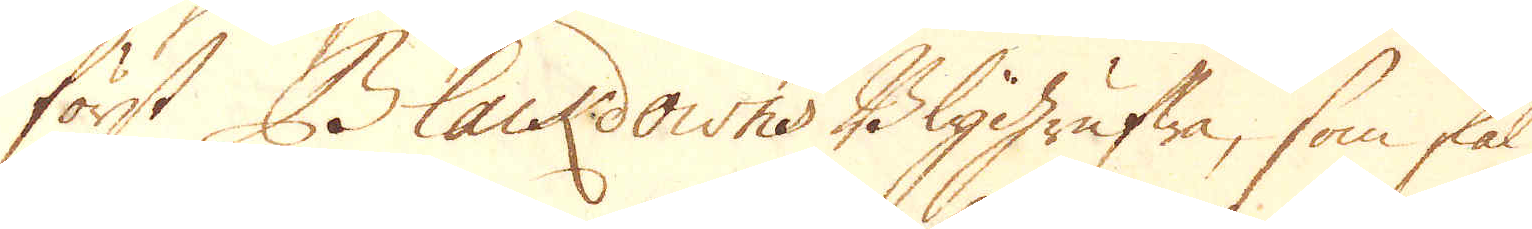först Blackdowns Blygrufwa, som skal
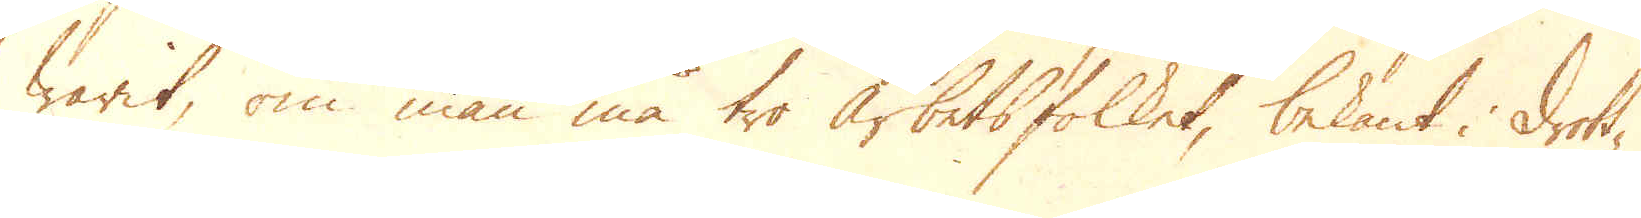warit, om man må tro arbetsfolket, bekant i drott-
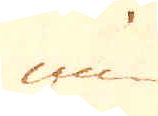ning
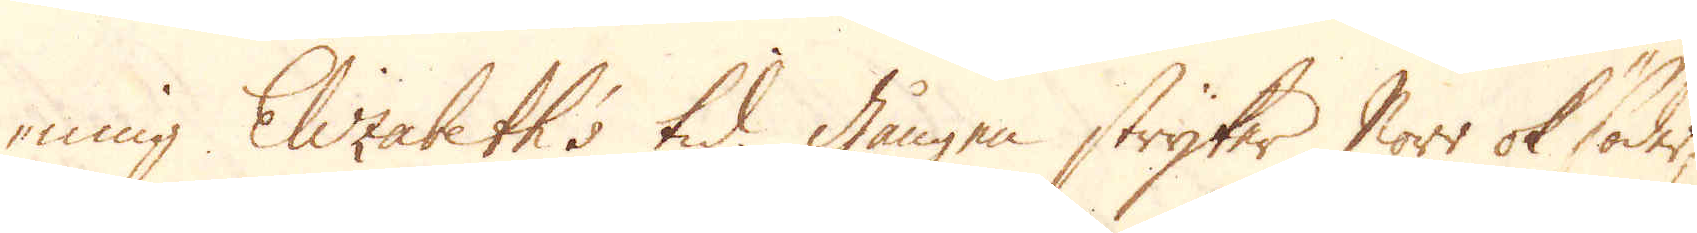ning Elizabeth's tid. Gången stryker Norr ok Söder,
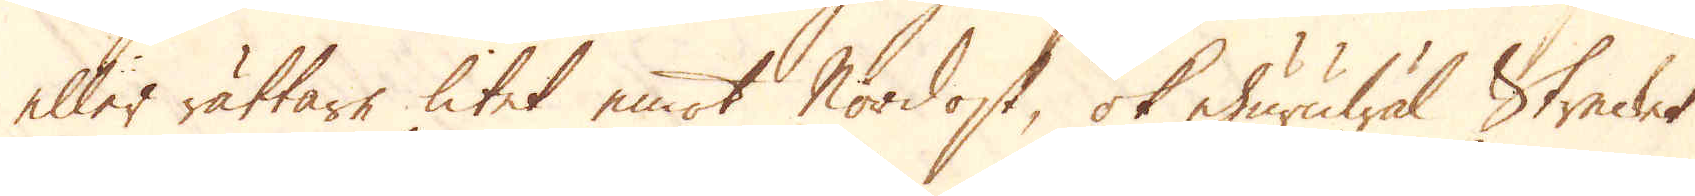eller rättare litet emot Nordost, ok ehuruwäl Strecket
